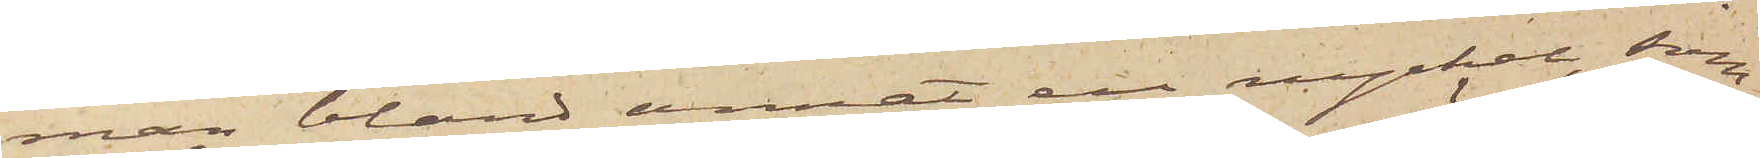man bland annat en nyckel, som
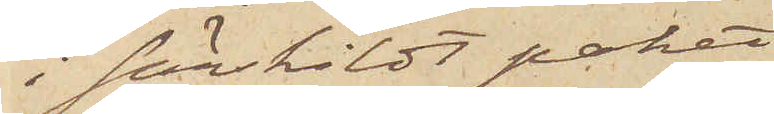i särskildt paket
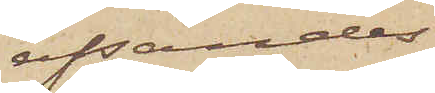afsändes
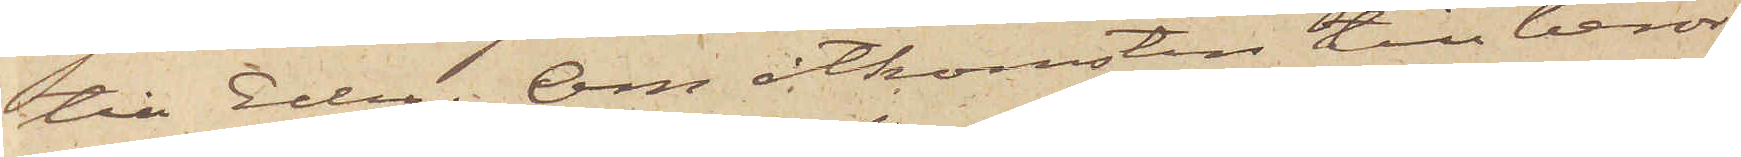till Eder. Om åtkomsten till berör¬
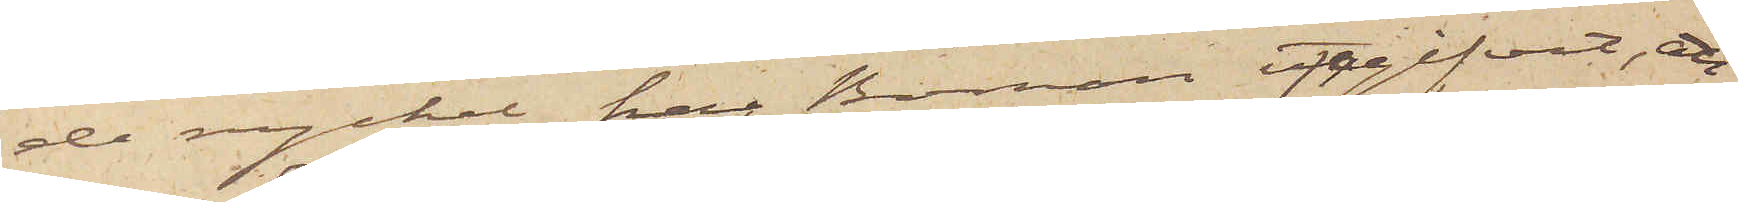de nyckel, har Boman uppgifvit, att
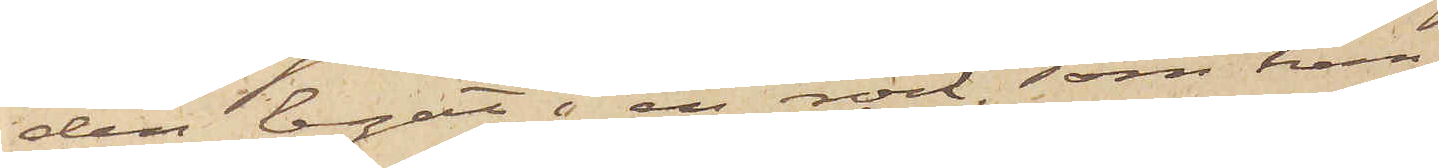den legat i en rock, som han,
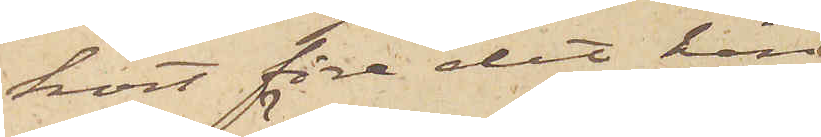kort före det han
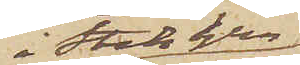i Stockholm
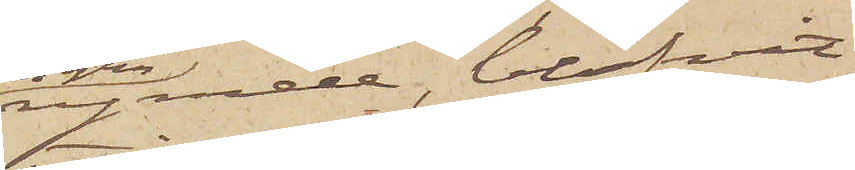rymde, blifvit
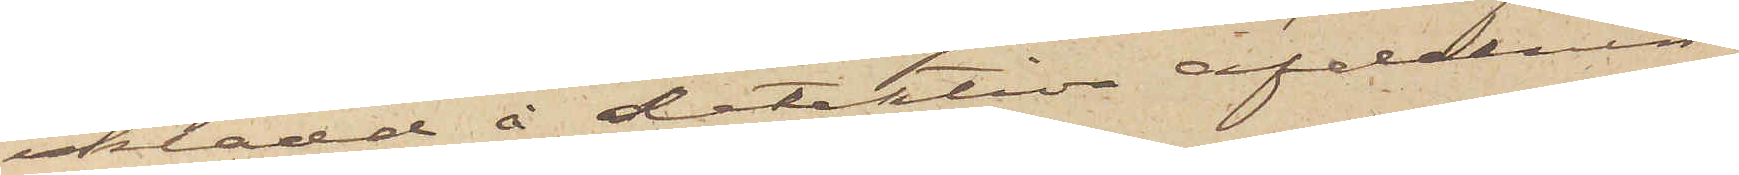iklädd å detektiva afdelnin¬
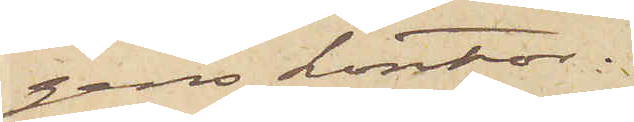gens kontor.
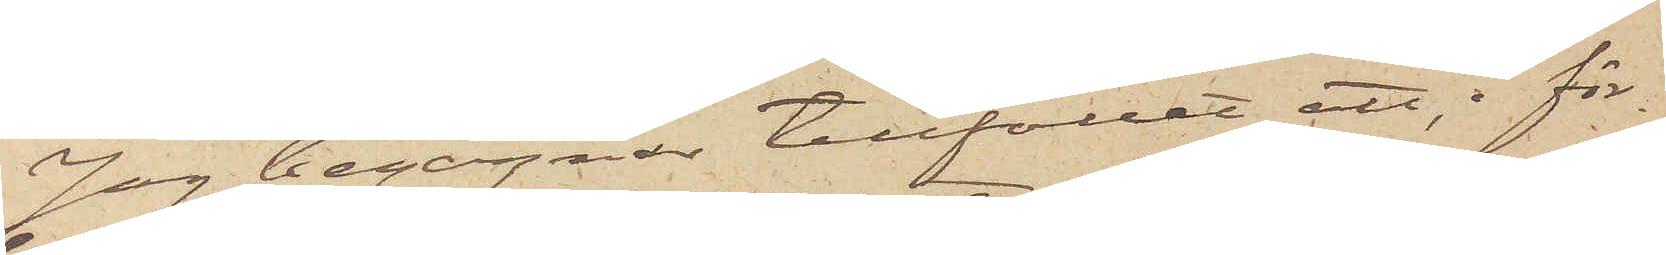Jag begagnar tillfället att, i för¬
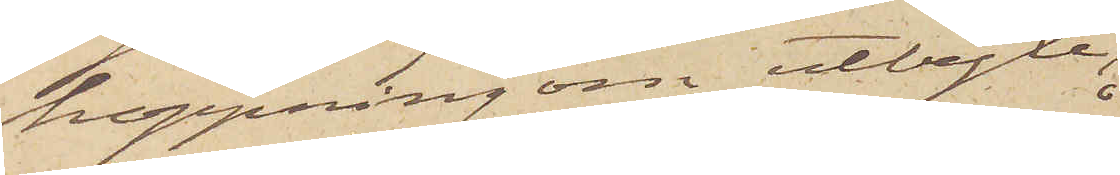hoppning om utbyte,
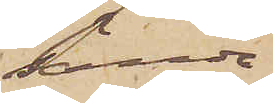sända
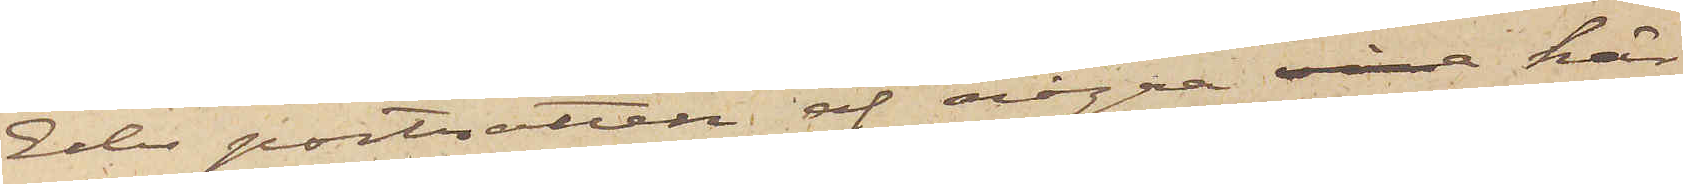Eder porträtten af några här
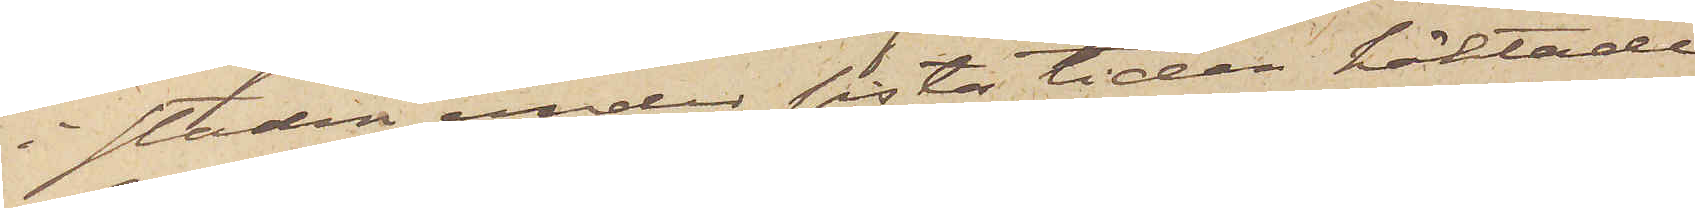i staden under sista tiden häktade
